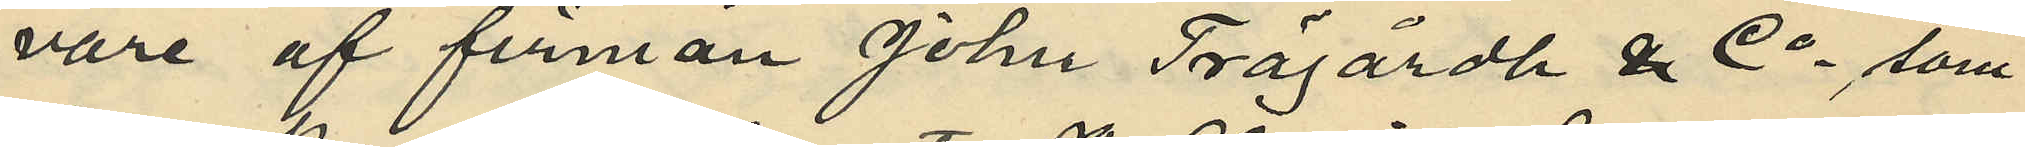vare af firman John Trägårdh & Co, som
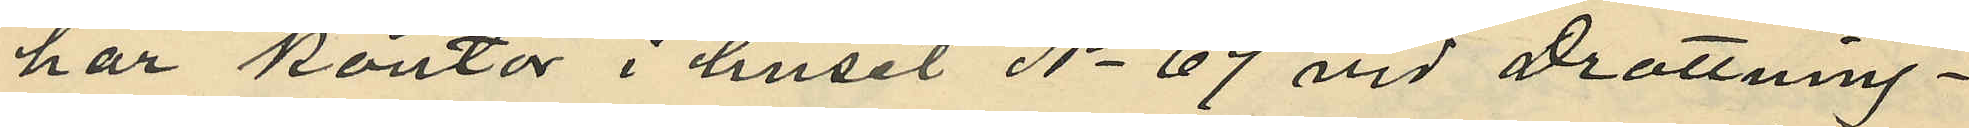har kontor i huset No 69 vid Drottning¬
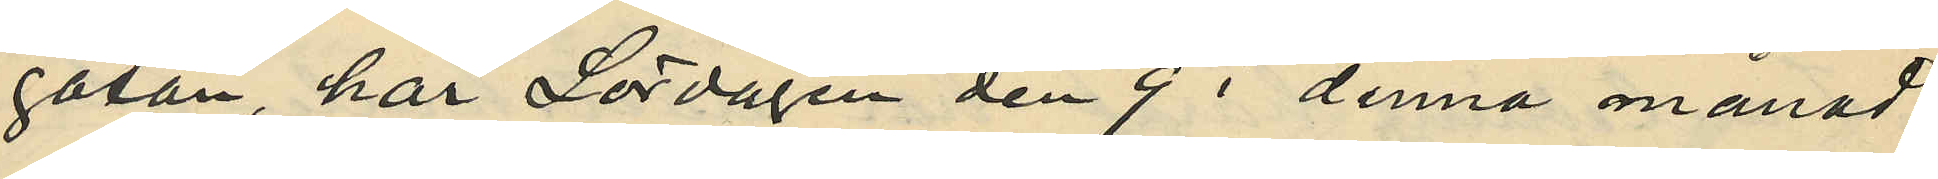gatan, har Lördagen den 9 i denna månad
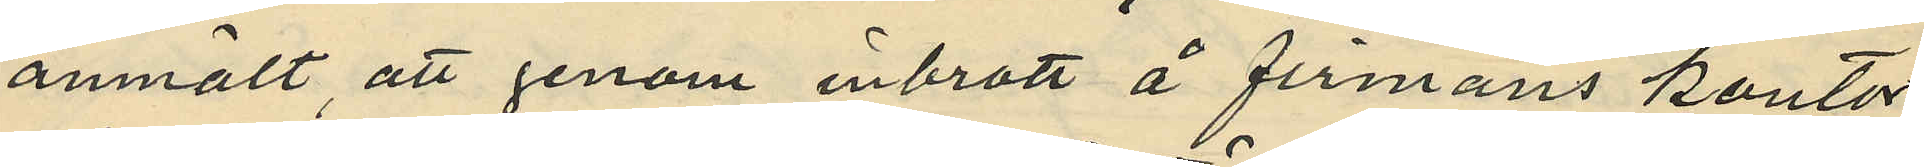anmält, att genom inbrott å firmans kontor,
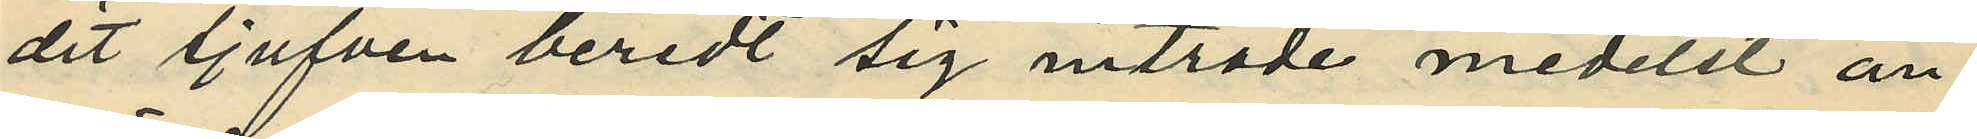dit tjufven beredt sig inträde medelst an¬
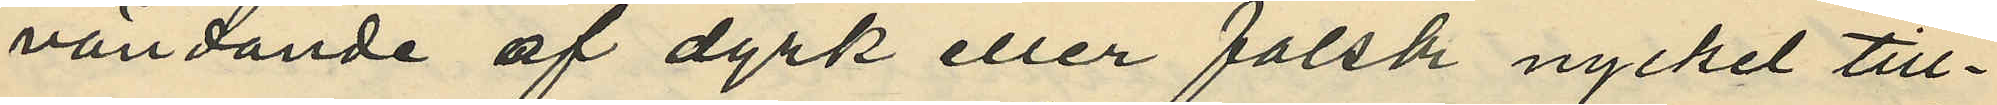vändande af dyrk eller falsk nyckel till¬
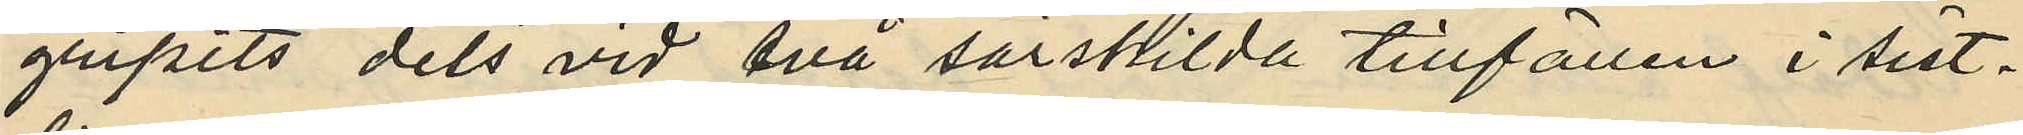gripits dels vid två särskilda tillfällen i sist¬
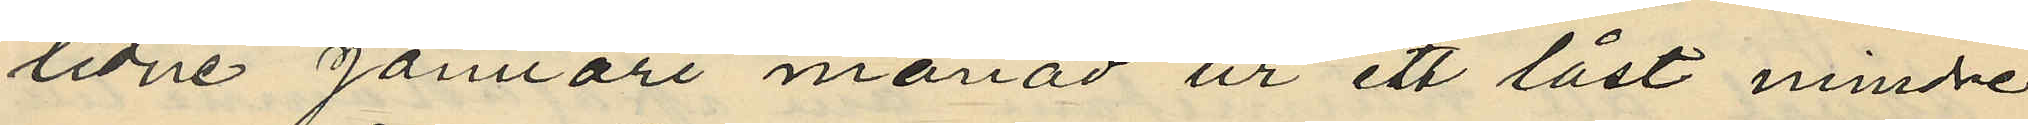lidne Januari månad ur ett låst mindre
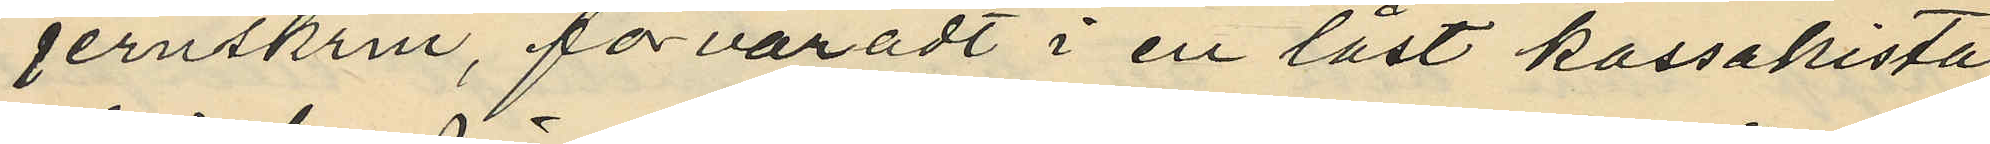jernskrin, förvaradt i en låst kassakista
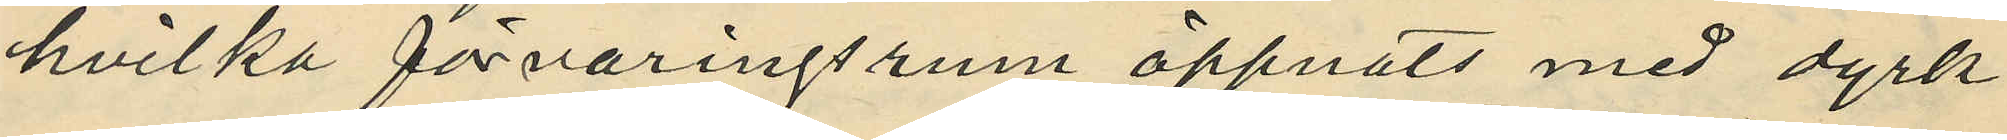hvilka förvaringsrum öppnats med dyrk
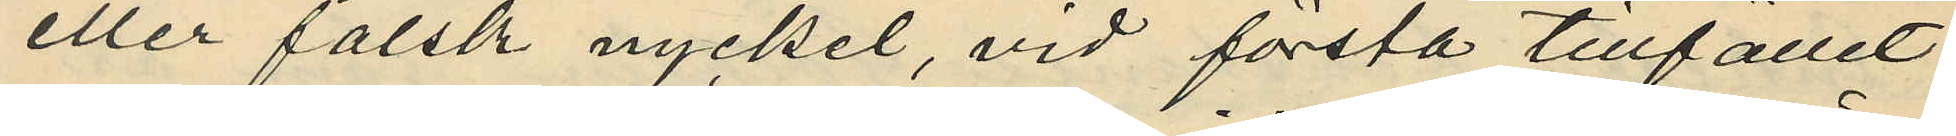eller falsk nyckel, vid första tillfället
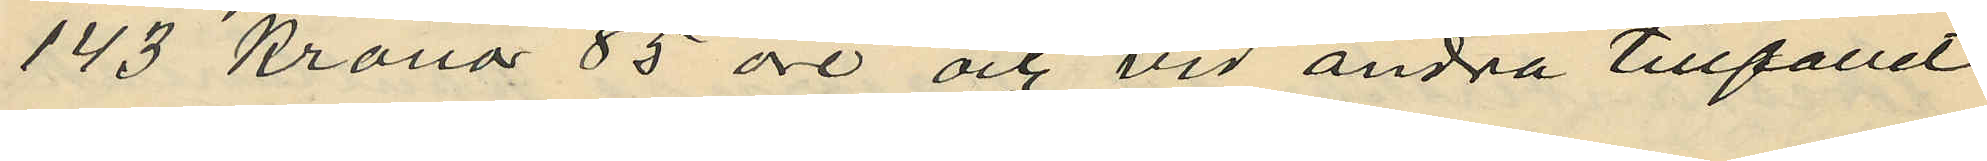143 Kronor 85 öre och vid andra tillfället
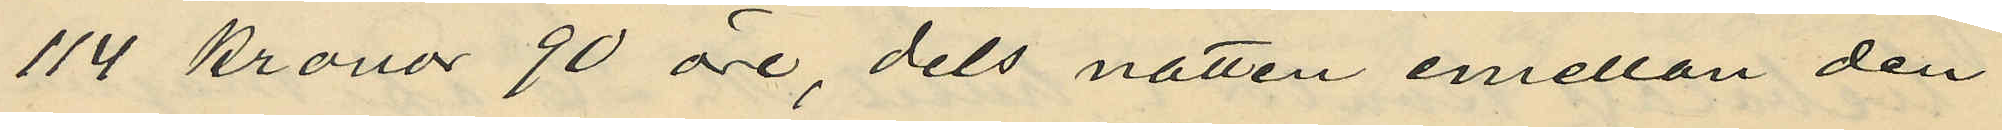114 kronor 90 öre, dels natten emellan den
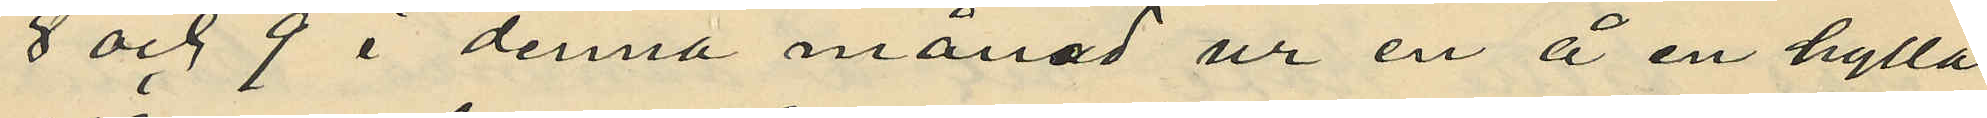8 och 9 i denna månad ur en å en hylla
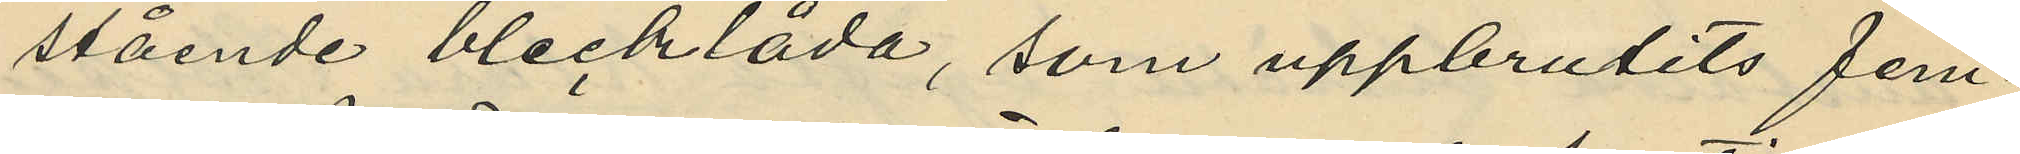stående blecklåda, som uppbrutits fem¬
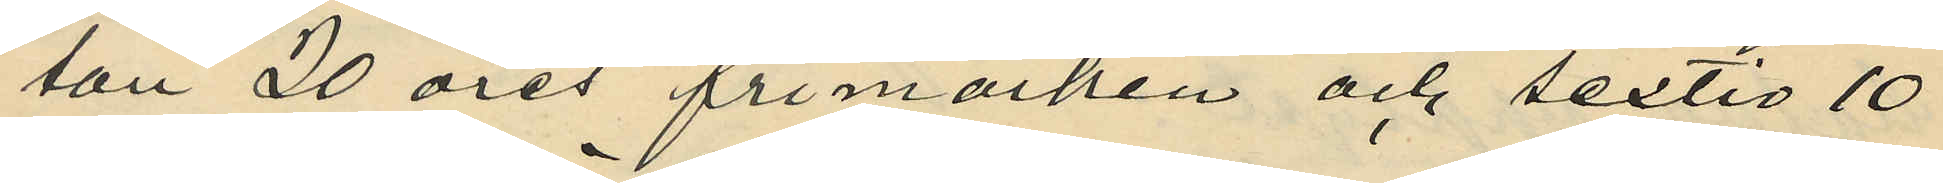ton 20 öres frimärken och sextio 10
